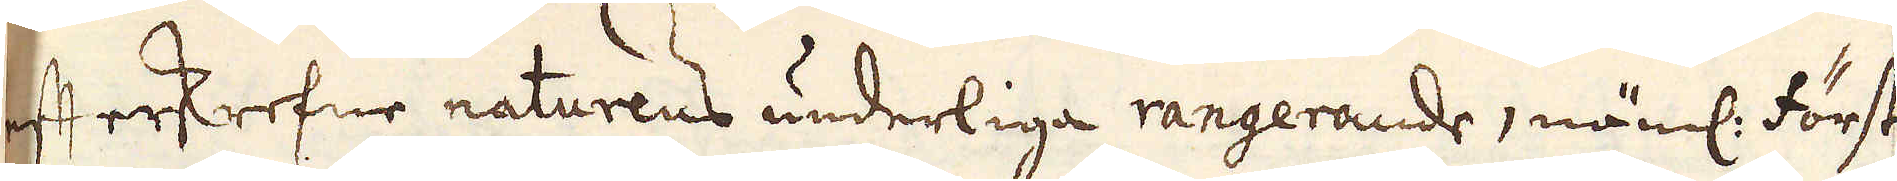efterskrefne naturens underliga rangerande, näml: först
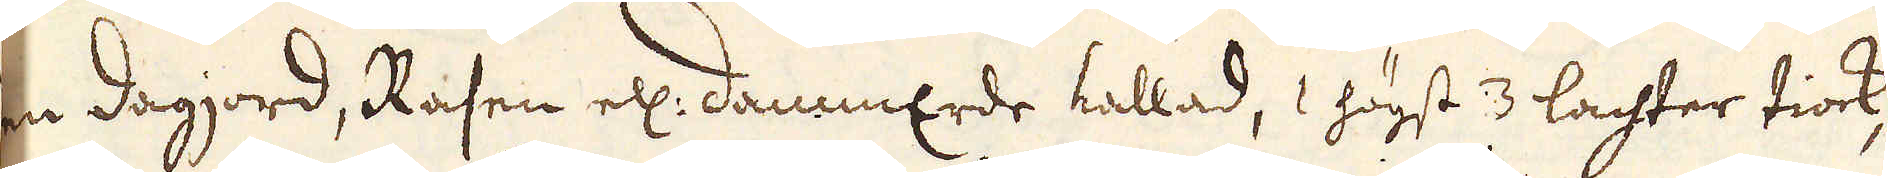en dagjord, Rasen ell: dammErde kallad, 1 högst 3 lachter tiock,
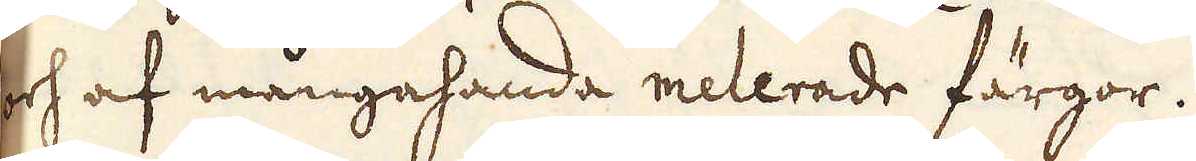och af mångahanda melerade färgor.
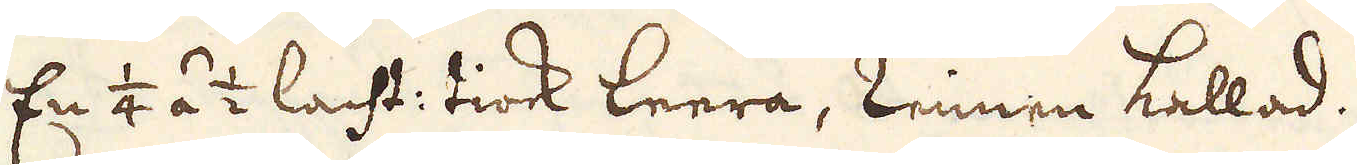/2. En 1/4 á 1/2 lacht: tiock leera, Linnen kallad.
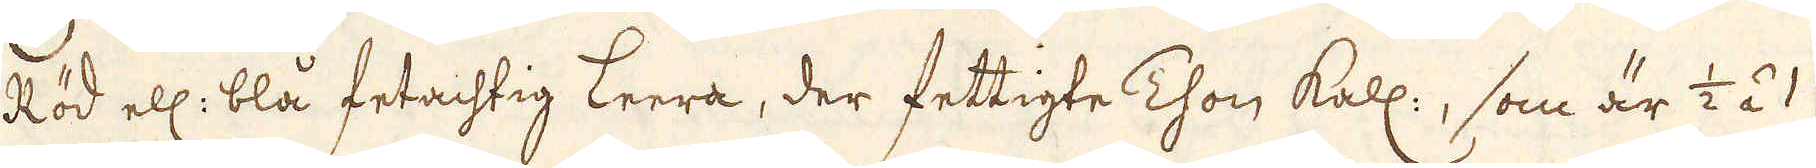/3. Röd ell: blå fetachtig leera, der fettigte Thon kall:, som är 1/2 á 1
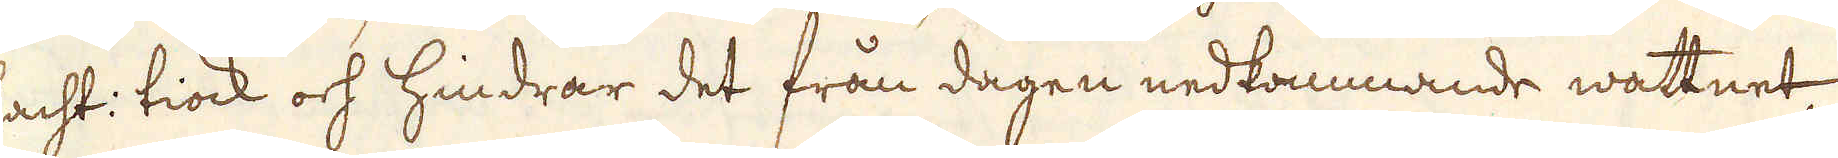lacht: tiock och hindrar det från dagen nedkommande wattnet,
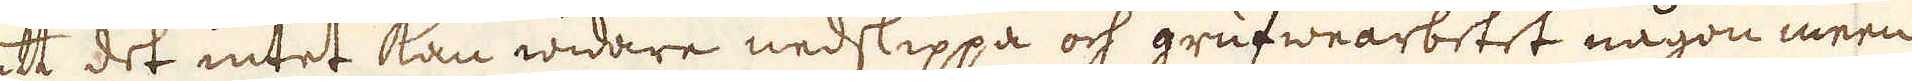att det intet kan widare nedslippa och grufwearbetet någon meen
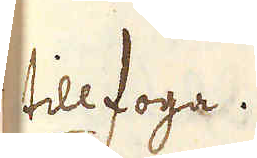tillfoga.
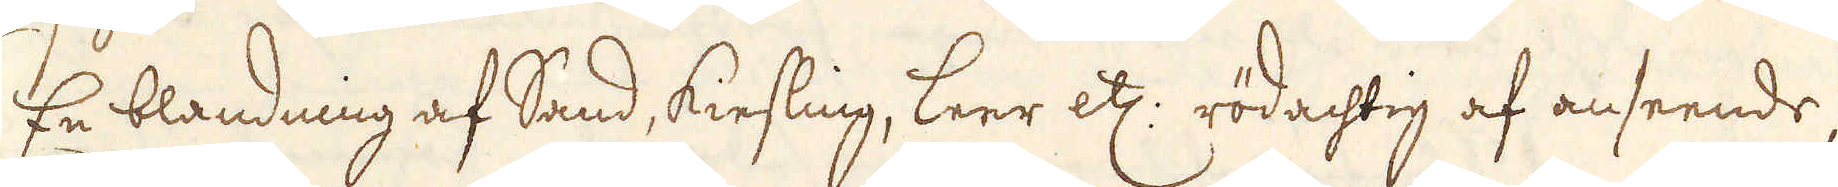/4. En blandning af Sand, kiesling, leer etc: rödachtig af anseende,
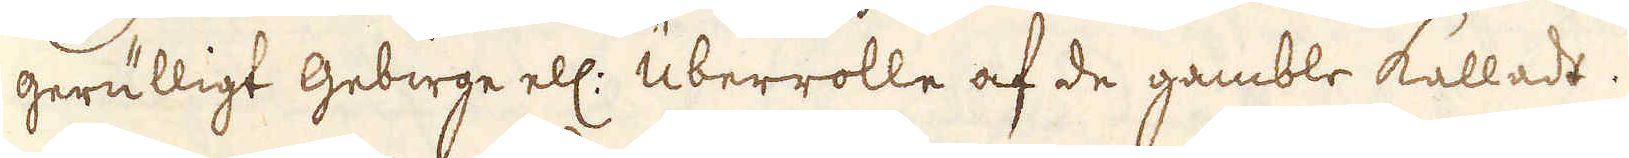gerulligt gebirge ell: überrolle af de gamble kalladt.
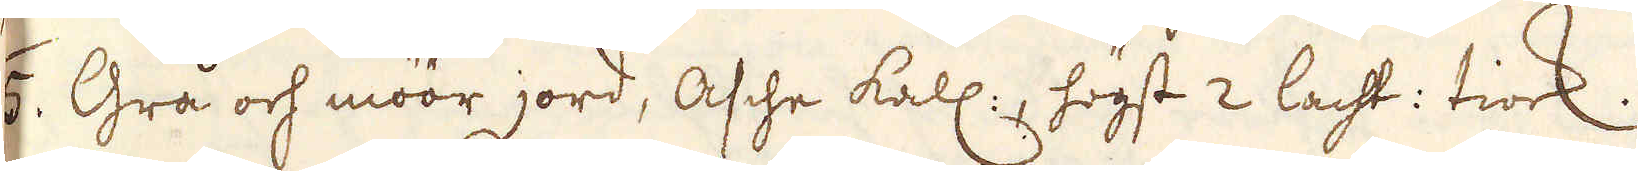/5. Grå och möör jord, Asche kall:, högst 2 lacht: tiock.
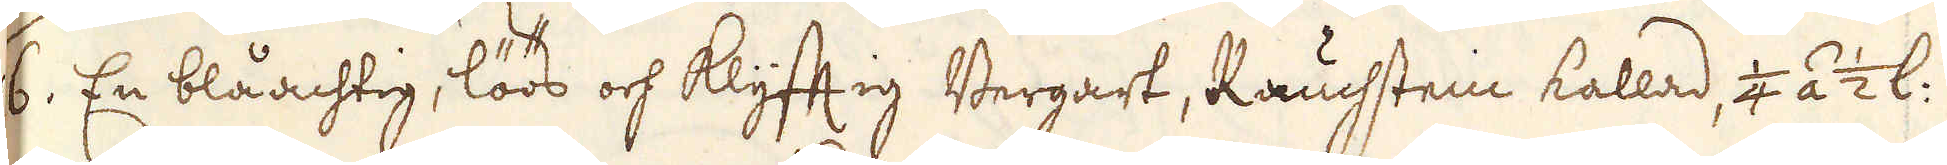/6. En blåachtig, löös och klyfftig Bergart, Raustein kallad, 1/4 á 1/2 l:
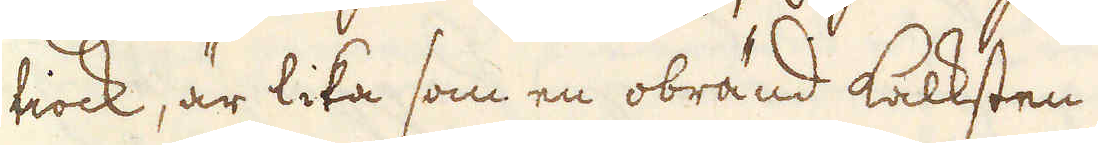tiock, är lika som en obränd kalksten.
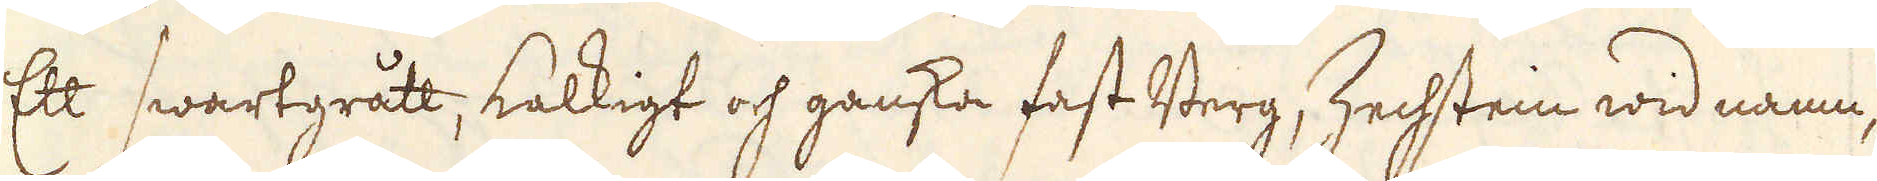/7. Ett swartgrått, kalkigt och ganska fast Berg, Zechstein wid namn,
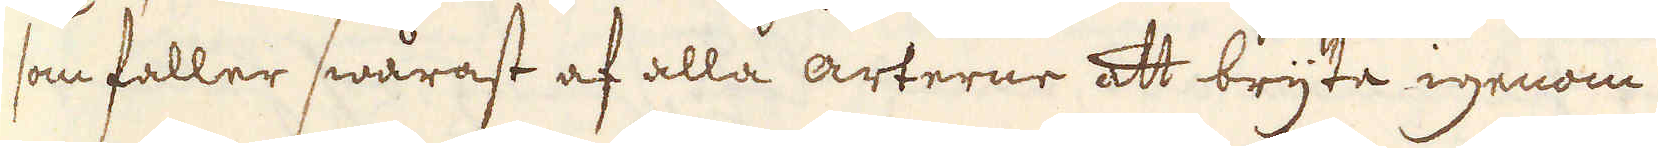som faller swårast af alla arterne att bryte igenom.
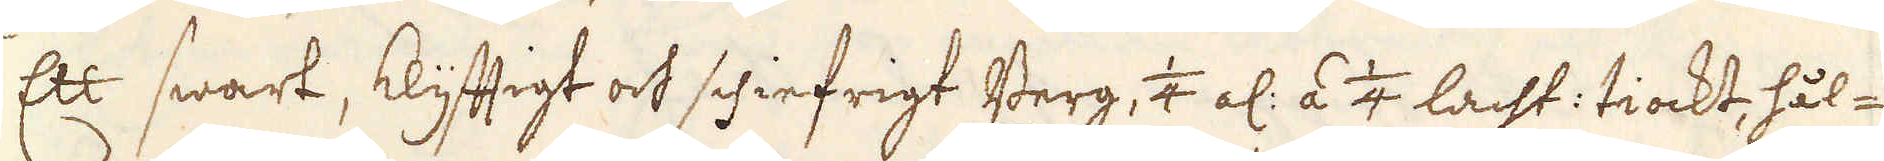/8. Ett swart, klyfftigt och schiefrigt Berg, 1/4 al: á 1/4 lacht: tiockt, hål-
